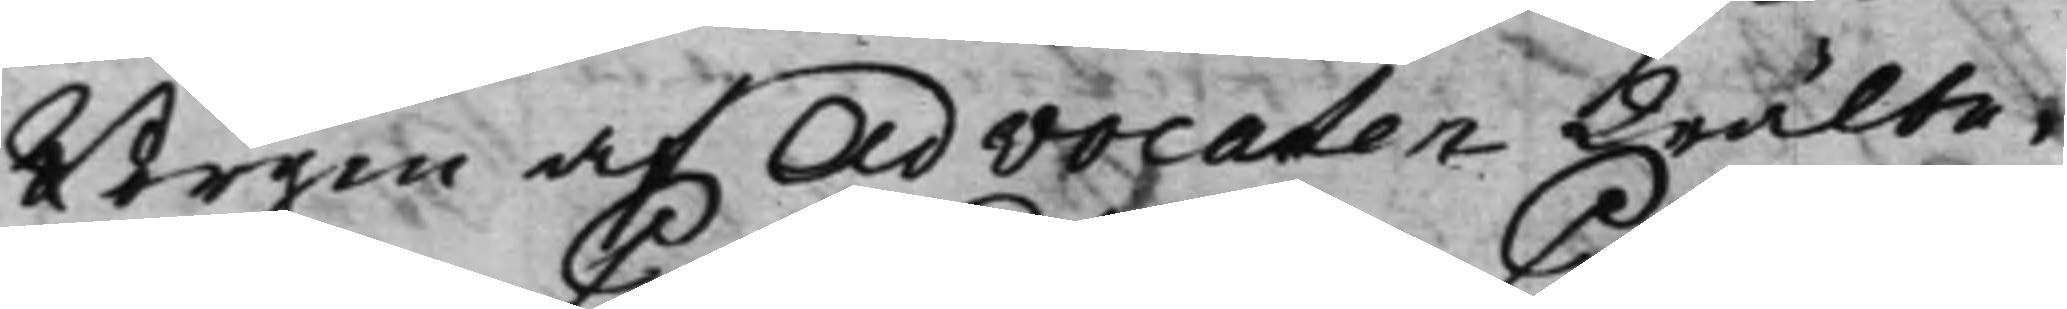Borgen af Advocaten Wälbe¬
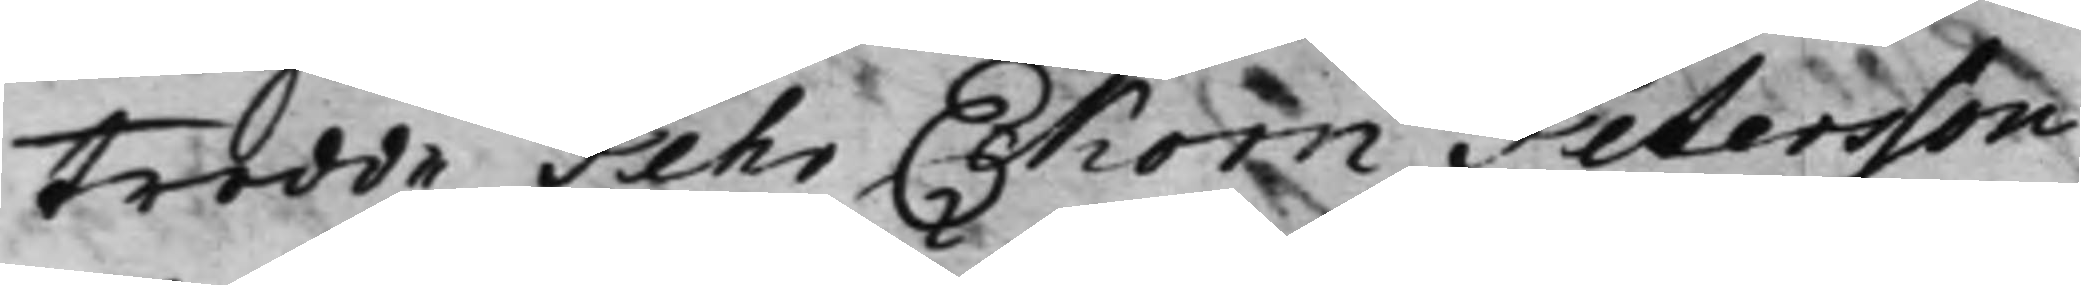trodde Pehr Eckorn Petersson
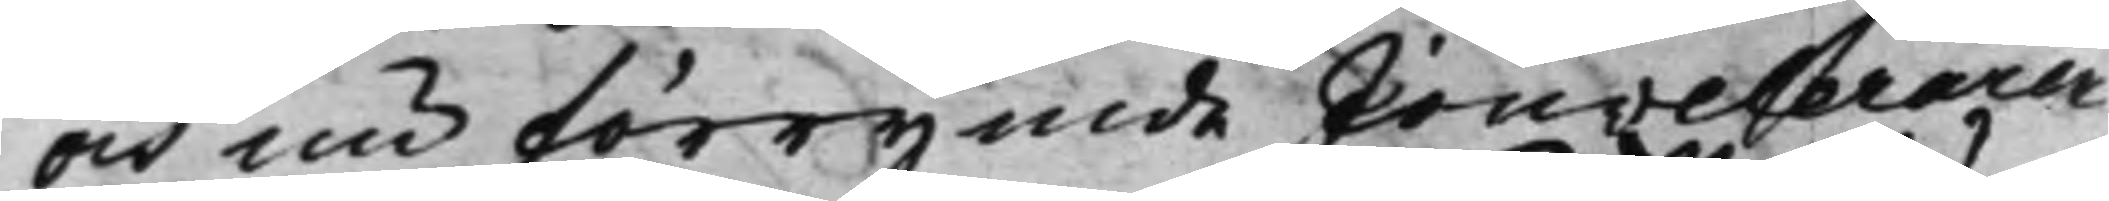och nu förrymde Jouveleraren
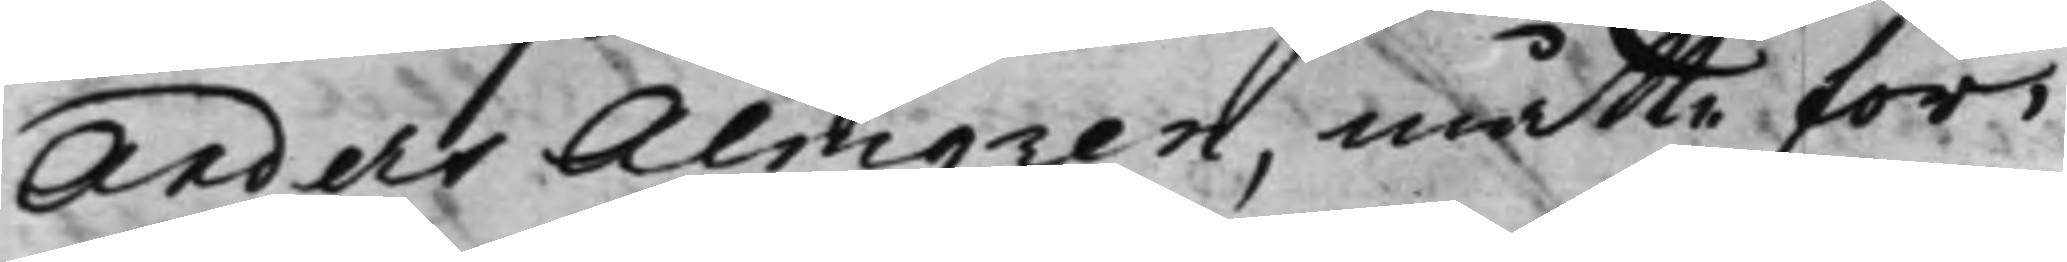Anders Almgren, måtte för¬
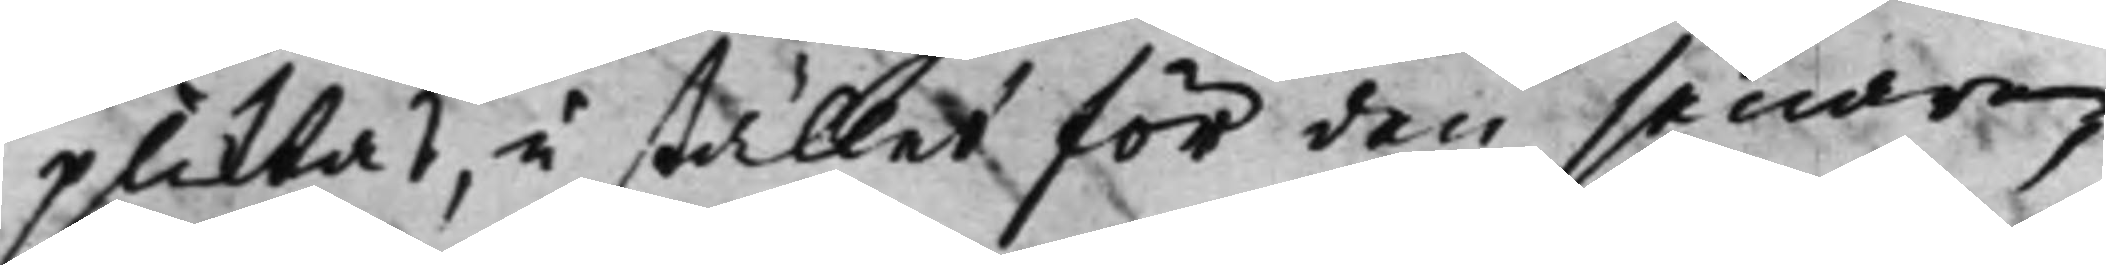pliktas, i stället för den senare,
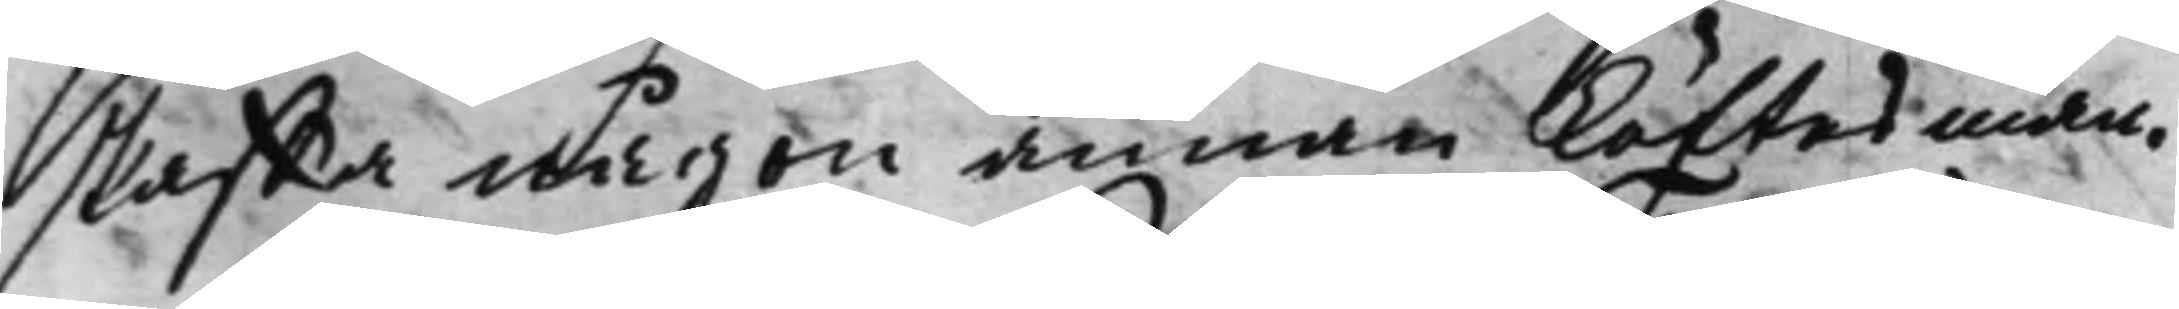skaffa någon annan Löftesman.
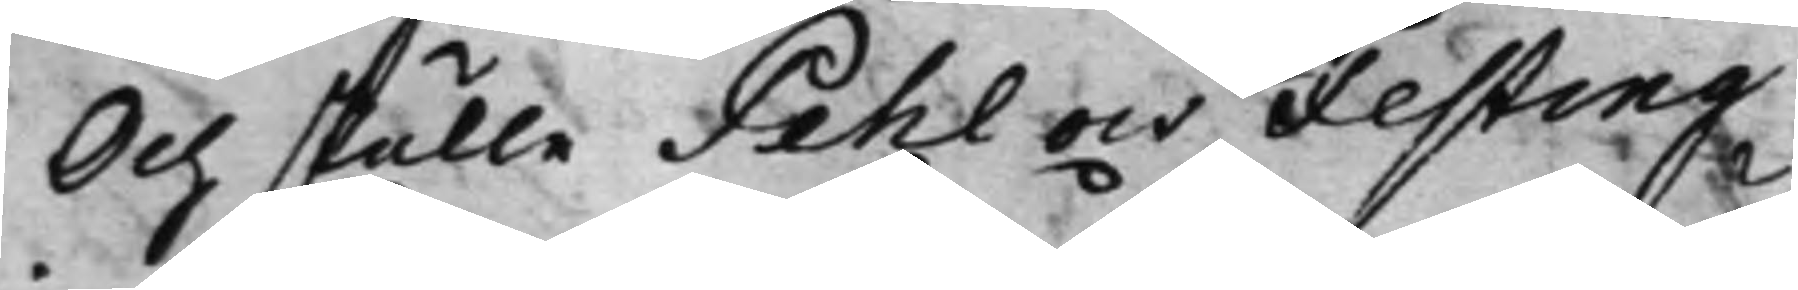Och skulle Pehl och Festing
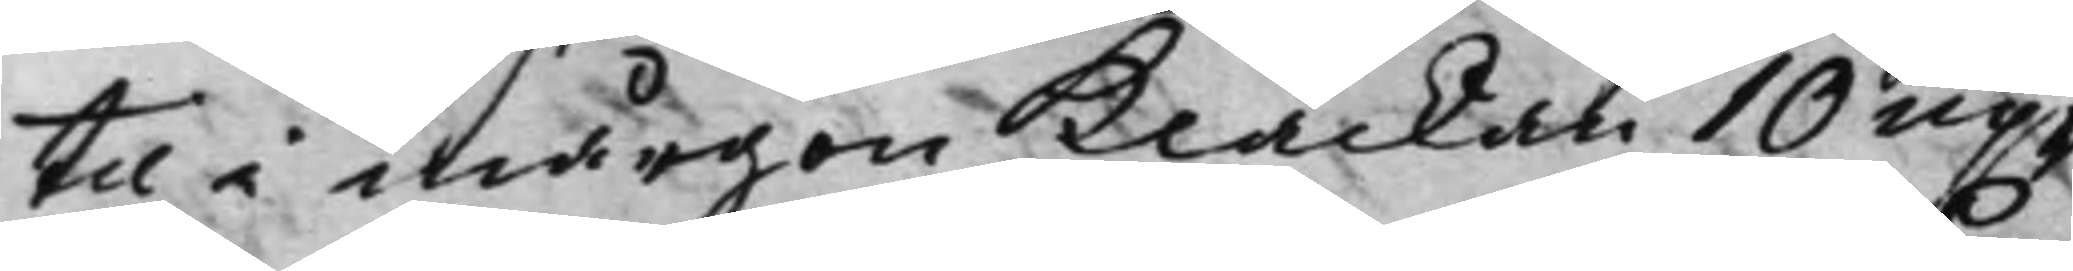til i mårgon Klåckan 10 up¬
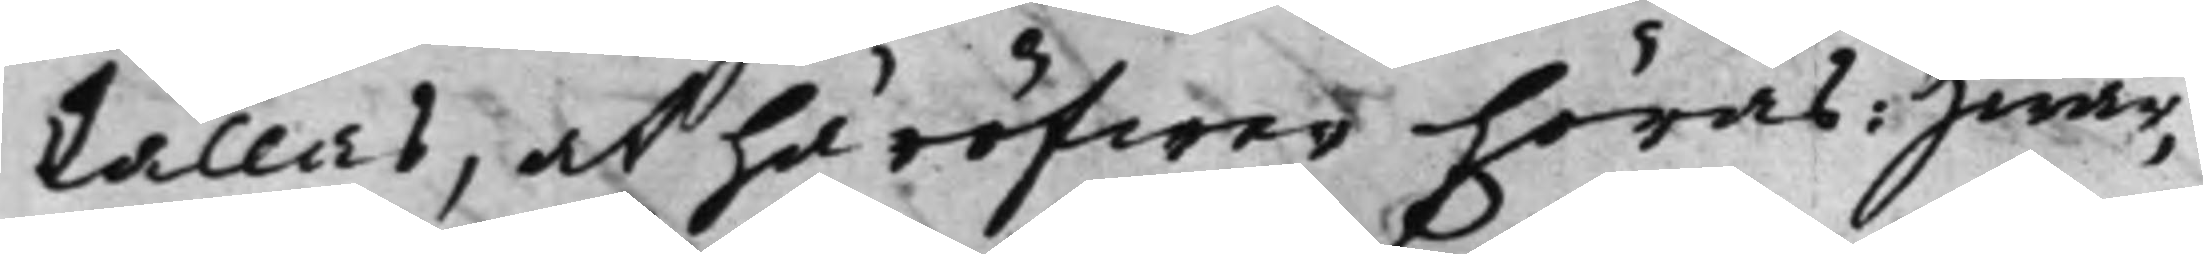kallas, at häröfwer höras: Hwar¬
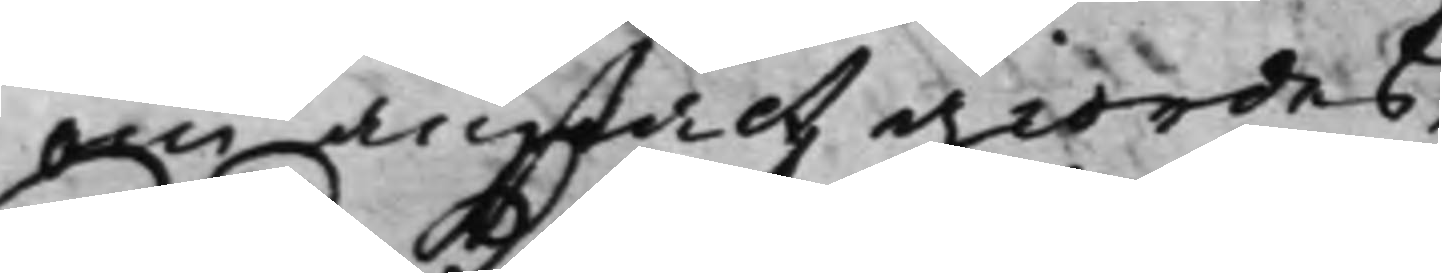om anstalt giordes.
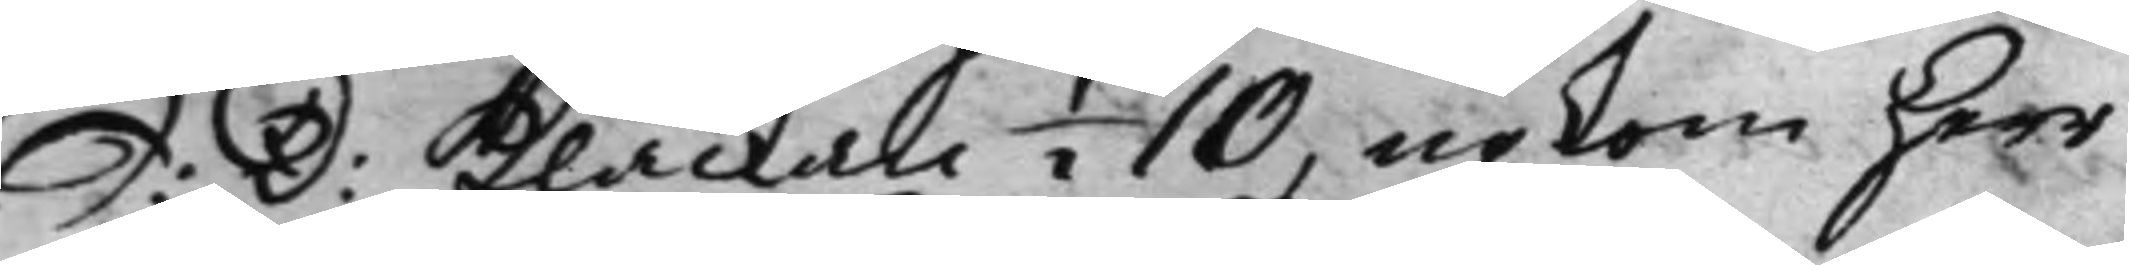S: D: Klåckan ½ 10, upkom Herr
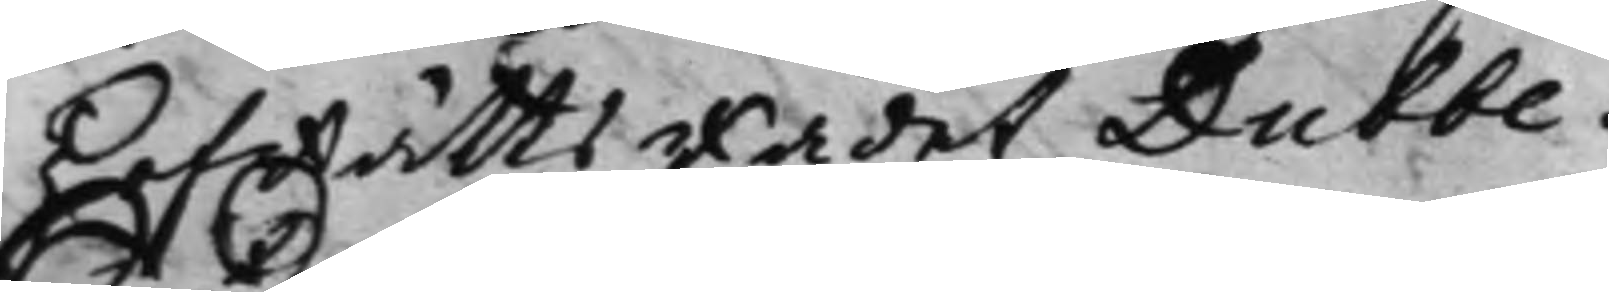HofRättsRådet Dubbe.
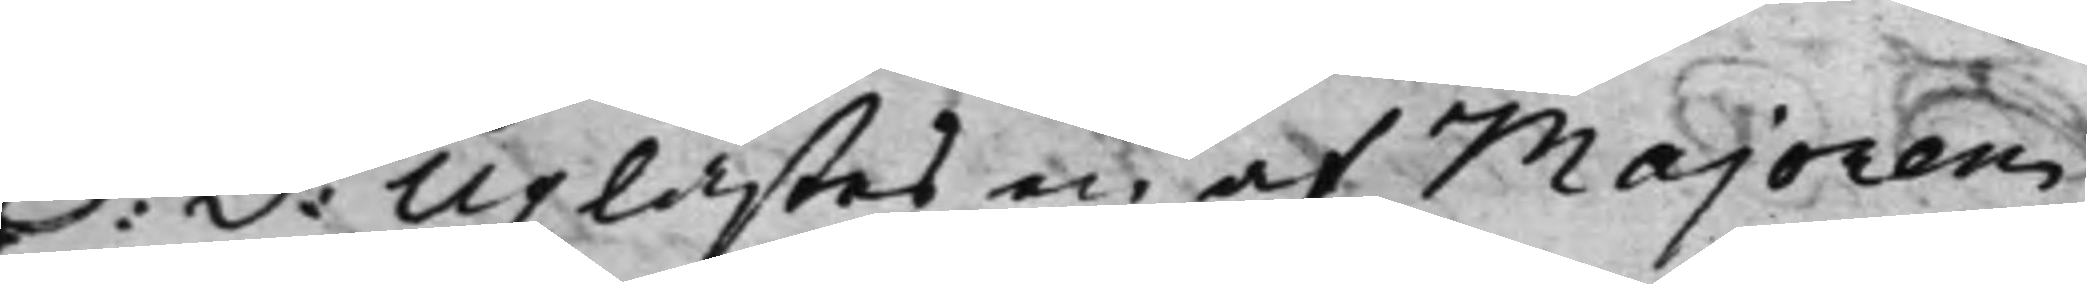S: D: Uplästes en af Majoren
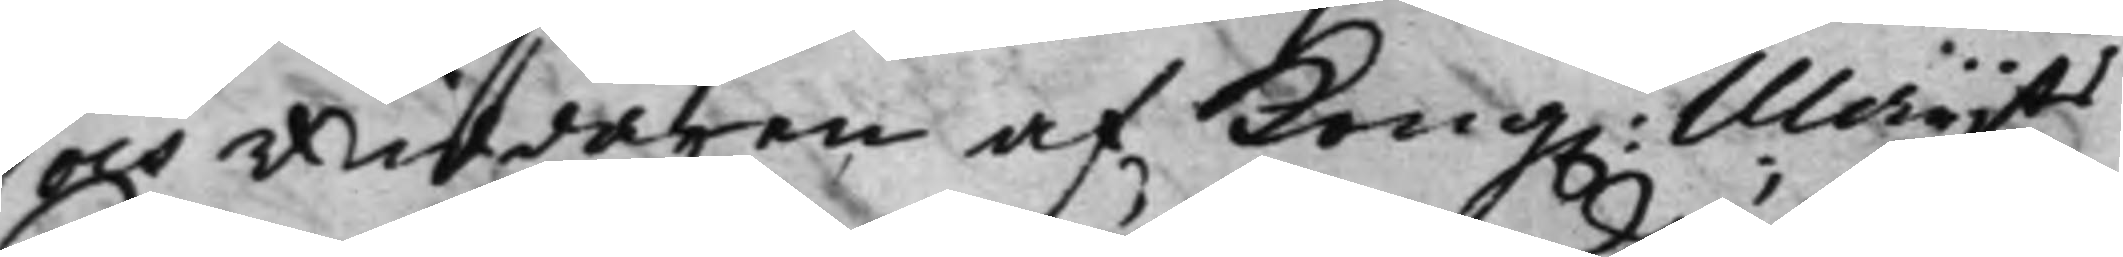och Riddaren af Kong. Maijts
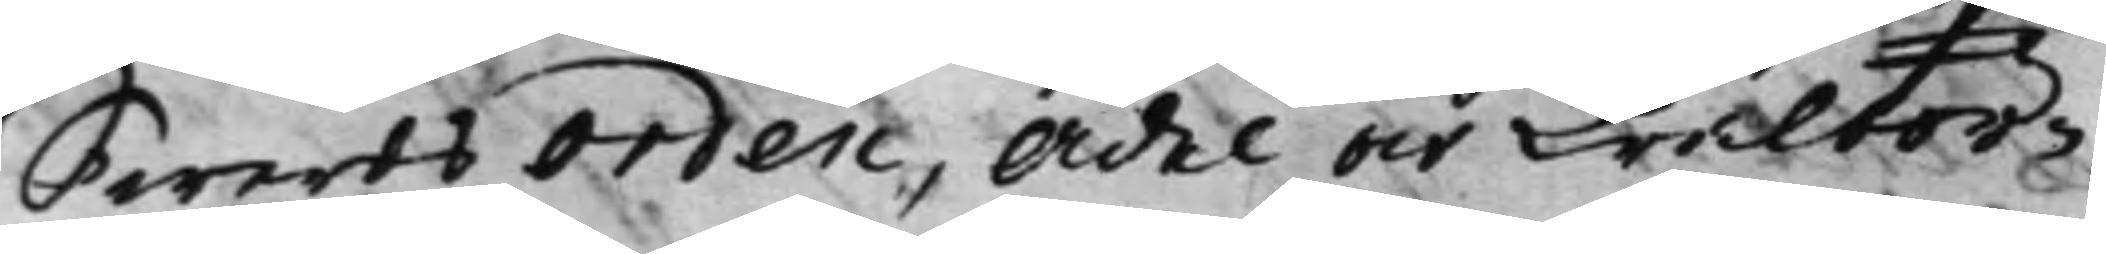Swerdsorden, Ädel och Wälbör¬
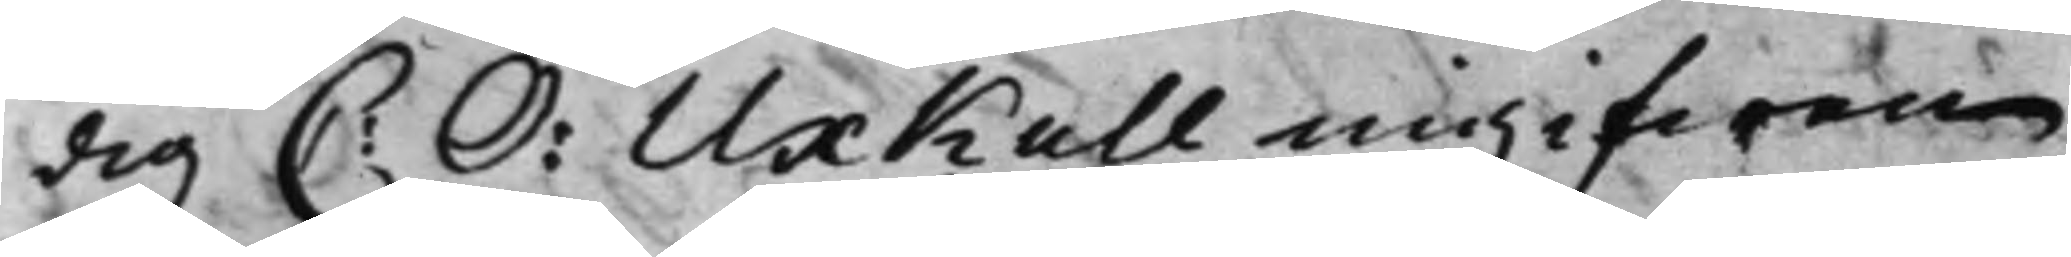dig C: O: Uxkull ingifwen
